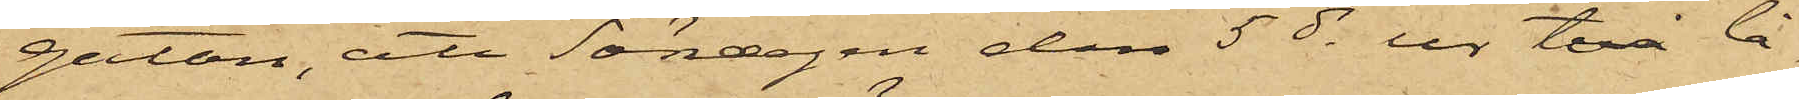gatan, att Söndagen den 5 ds ur två lå¬
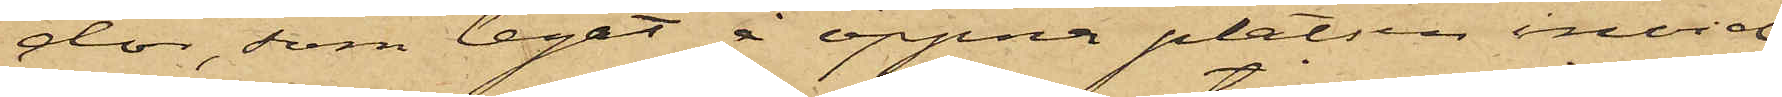dor, som legat å öppna platsen invid
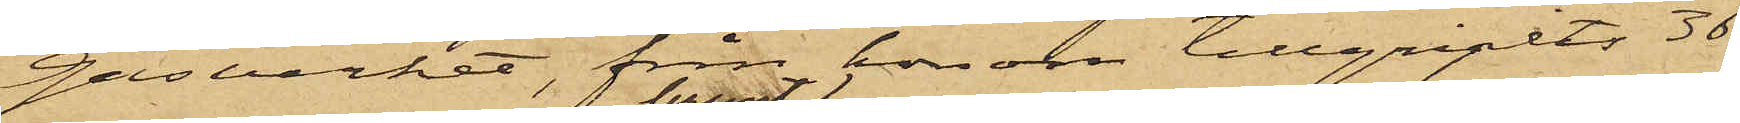gasverket, från honom tillgripits 36
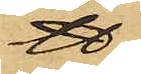℔
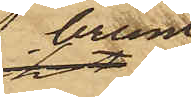brunt
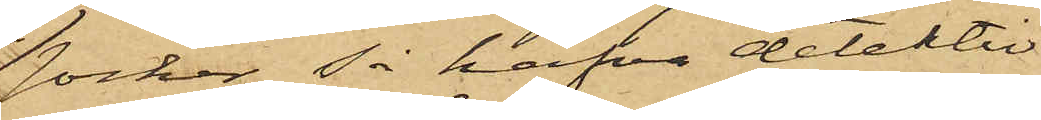socker, så hafva detektiv¬
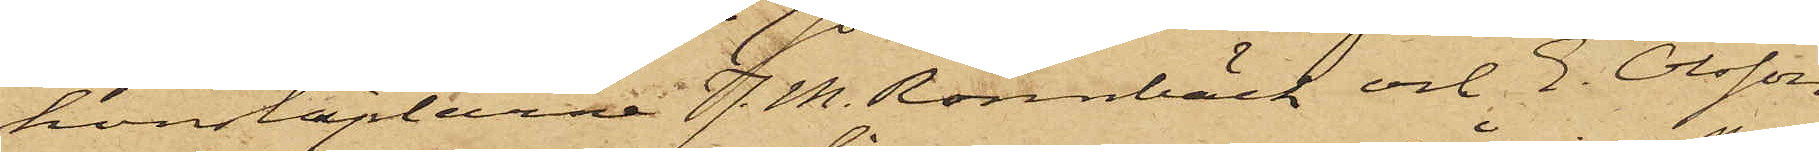konstaplarna J. M. Rönnbäck och E. Olsson,
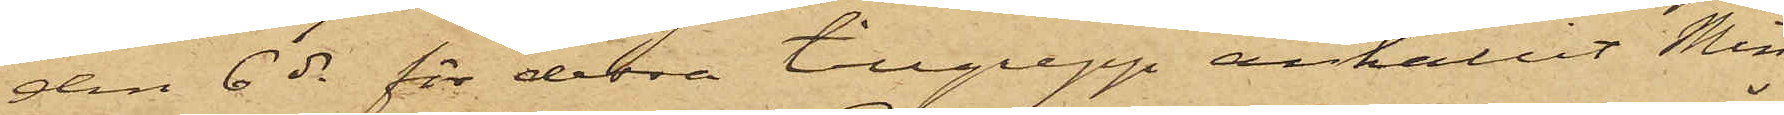den 6 ds för dessa tillgrepp anhållit Min¬
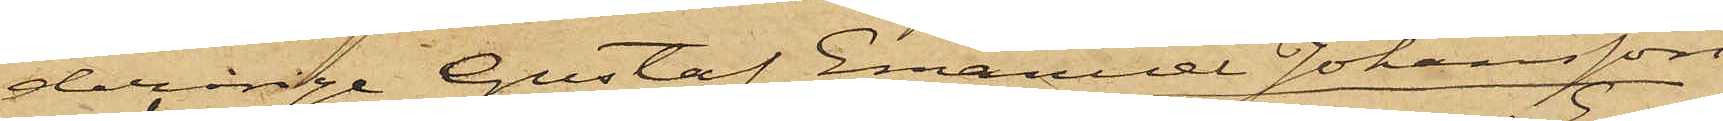derårige Gustaf Emanuel Johansson,
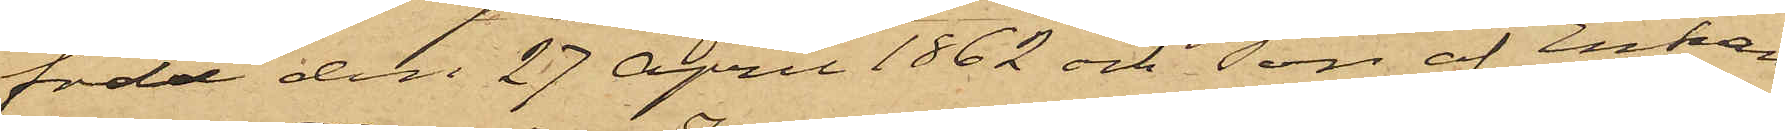född den 27 April 1862 och son af Enkan
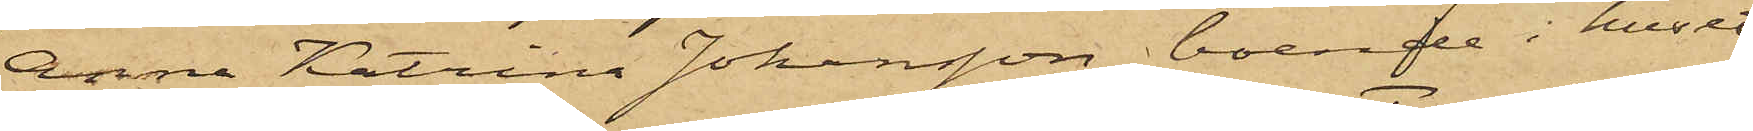Anna Katrina Johansson, boende i huset
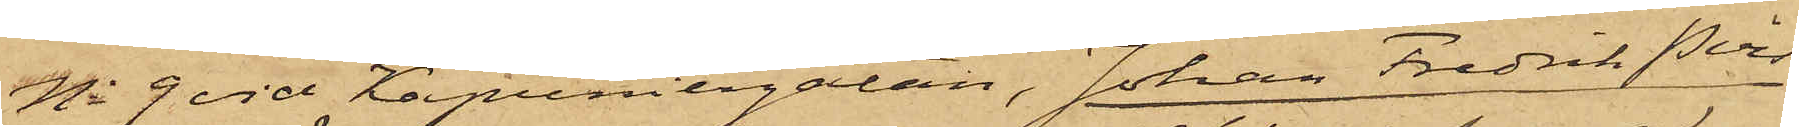No 9 vid Kapuniergatan, Johan Fredrik Pers¬
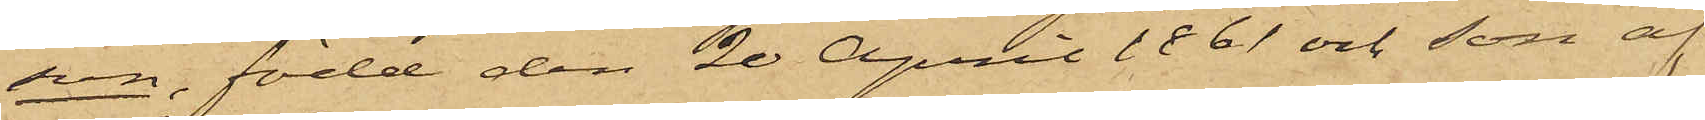son, född den 20 April 1861 och son af
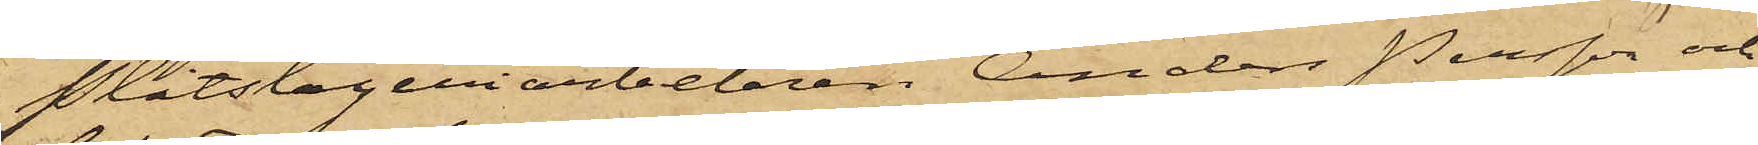Plåtslageriarbetaren Anders Persson och
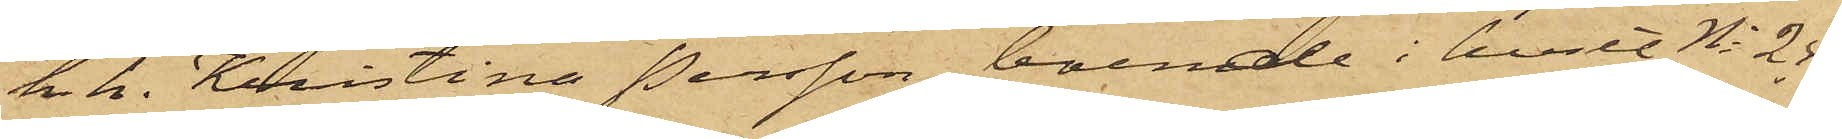h.h. Kristina Persson, boende i huset No 25
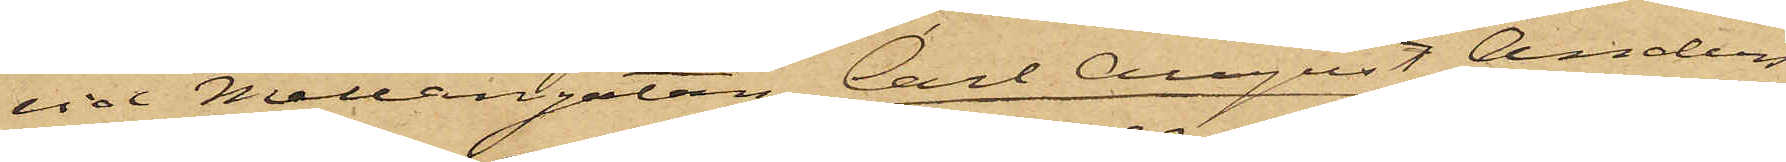vid Mellangatan, Carl August Anders¬
